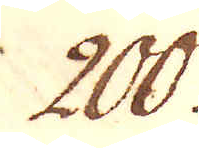200.
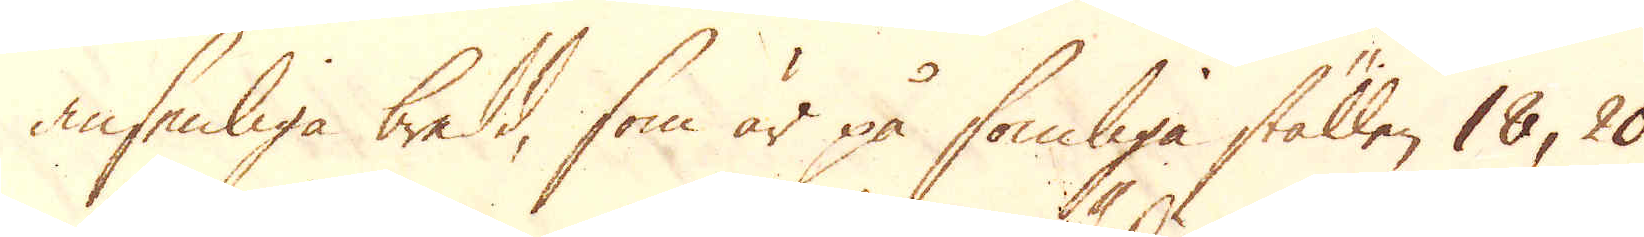ansenliga bredd, som är på somliga ställen 18, 20
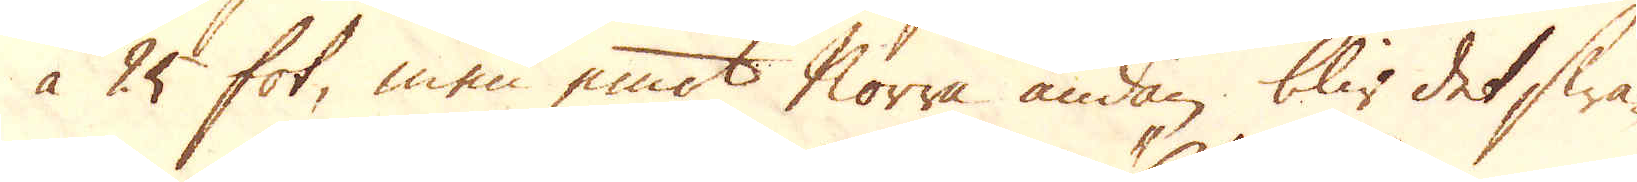áà 25 fot, men emot Norra ändan blir det swa-
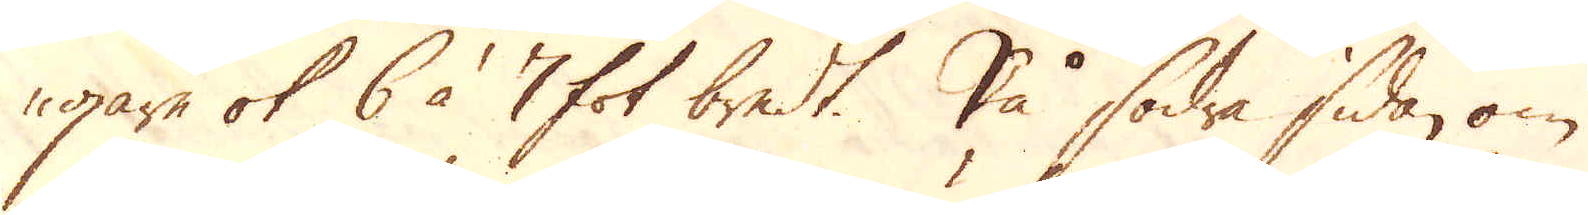gare ok 6 à 7 fot bredt. På södra sidan om
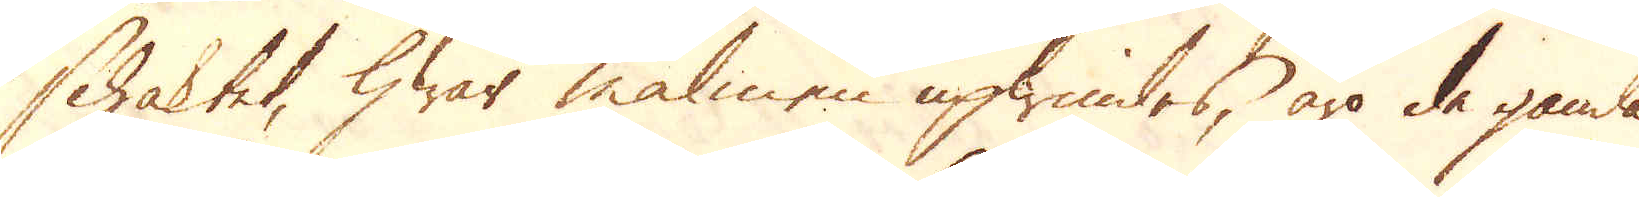schaktet, hwar malmen upwindes, äro de gamla
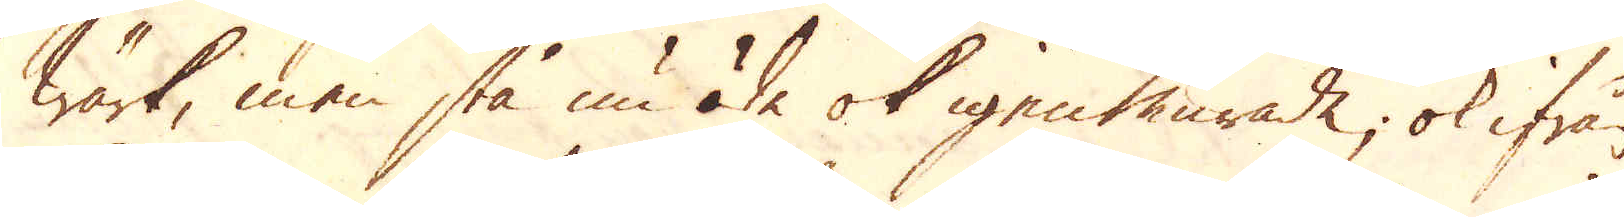wärk, men stå nu öde ok igenmurade, ok ifrån
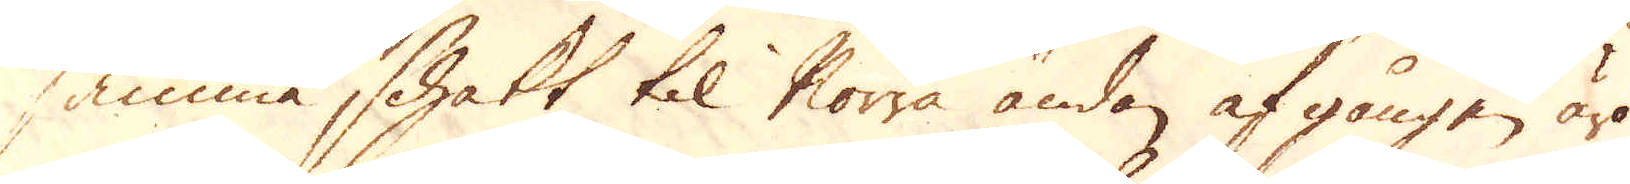samma schakt til Norra ändan af gången äro
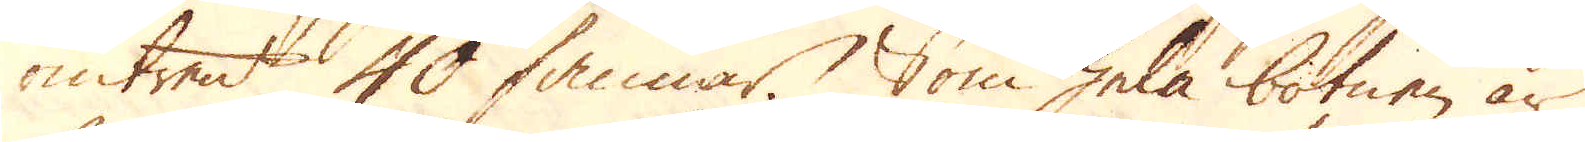omtrent 40 famnar. Som hela botnen är
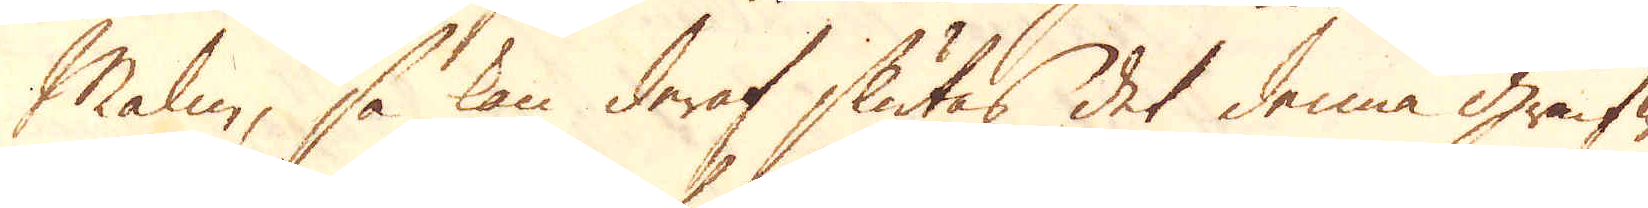Malm, så kan deraf slutas det denna grufwa
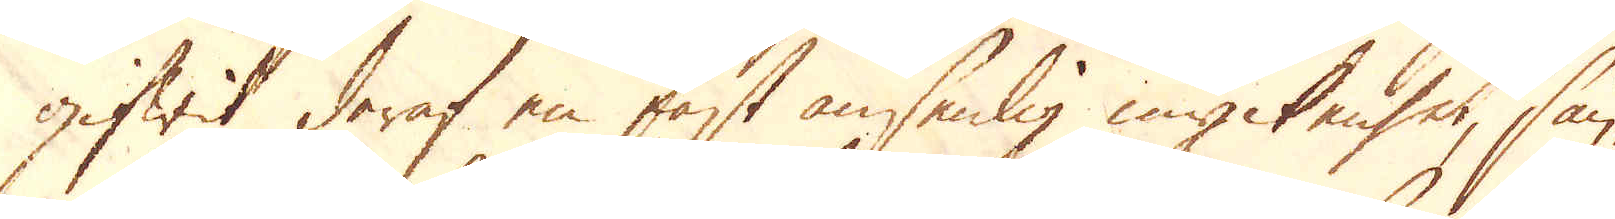gifwit deraf en fast ansenlig myckenhet, sän-
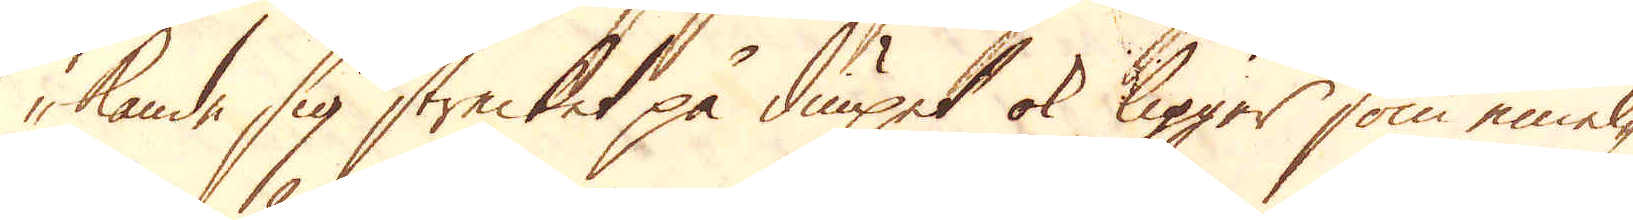kande sig strecket på diupet ok ligger som emel-
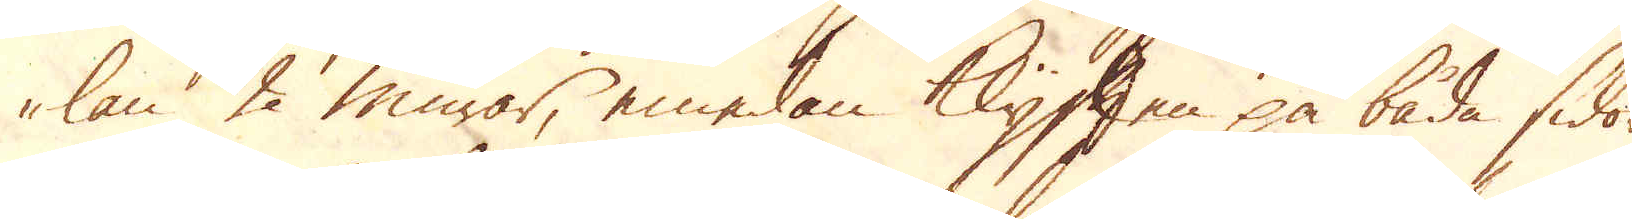lan 2 murar, emedan Klyften på båda sidor
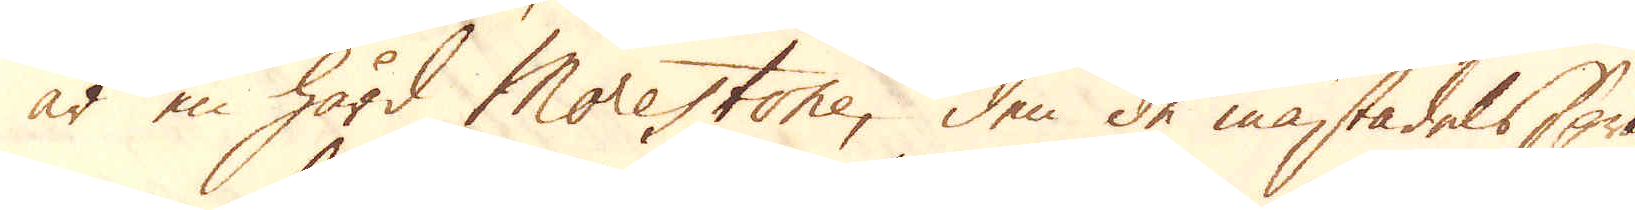är en hård Morestone, den de mästadels sprän-
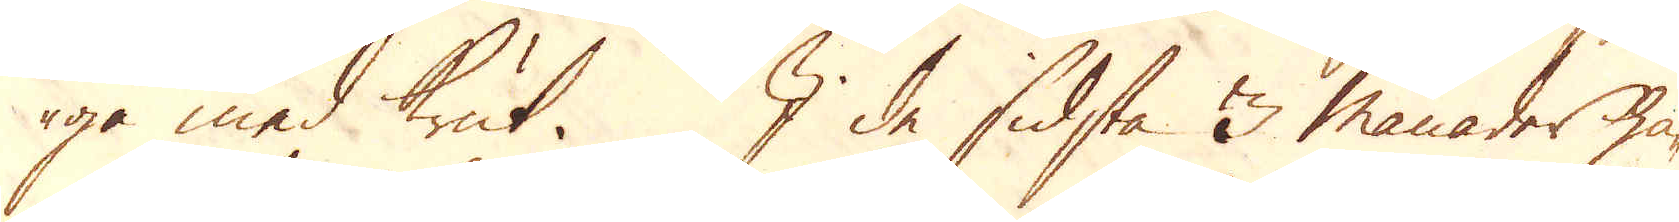ga med Krut. I de sidsta 3 månader ha-
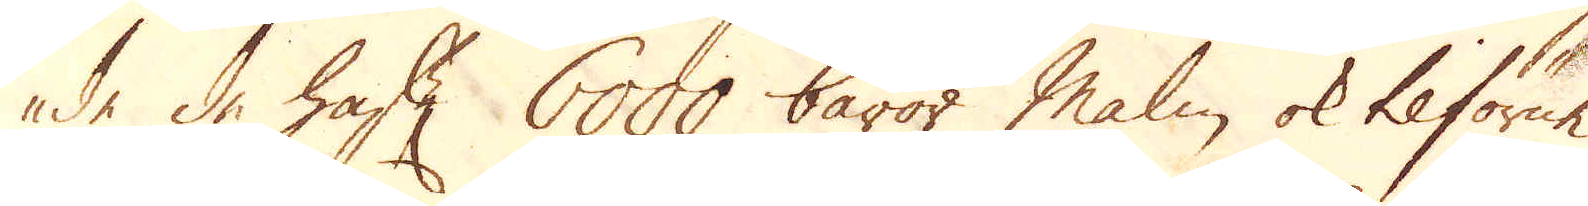de de haft 6000 båror Malm, ok tilförne
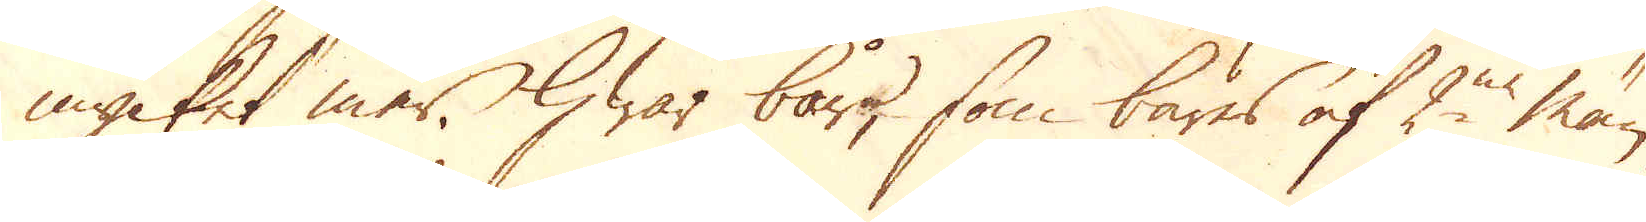mycket mer, hwar bår, som bäres af 2ne män,
